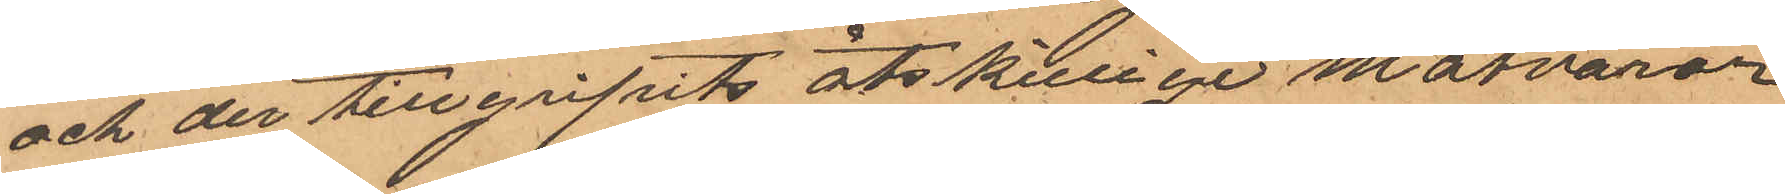och der tillgripits åtskillige matvaror
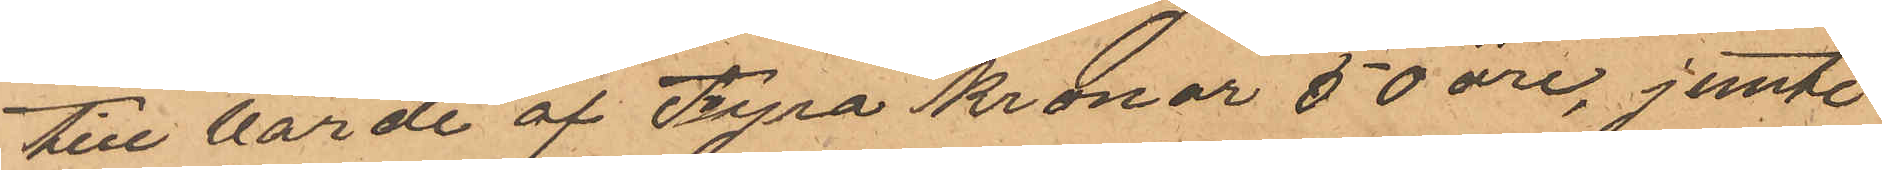till värde af Fyra Kronor 50 öre, jemte
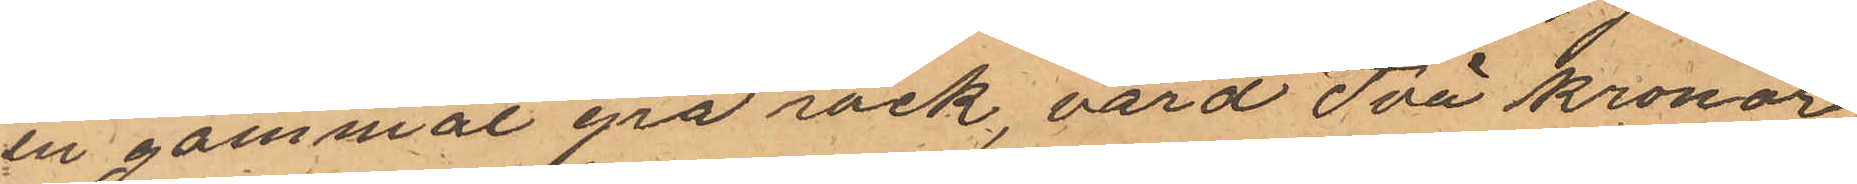en gammal grå rock, värd Två Kronor;
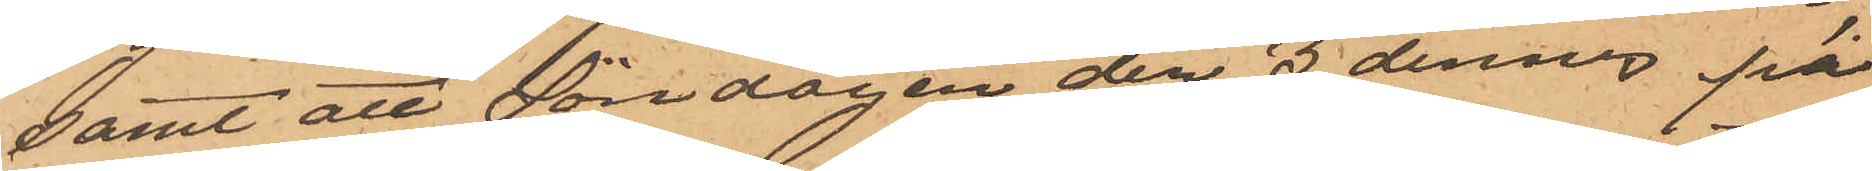samt att Söndagen den 3 dennes på
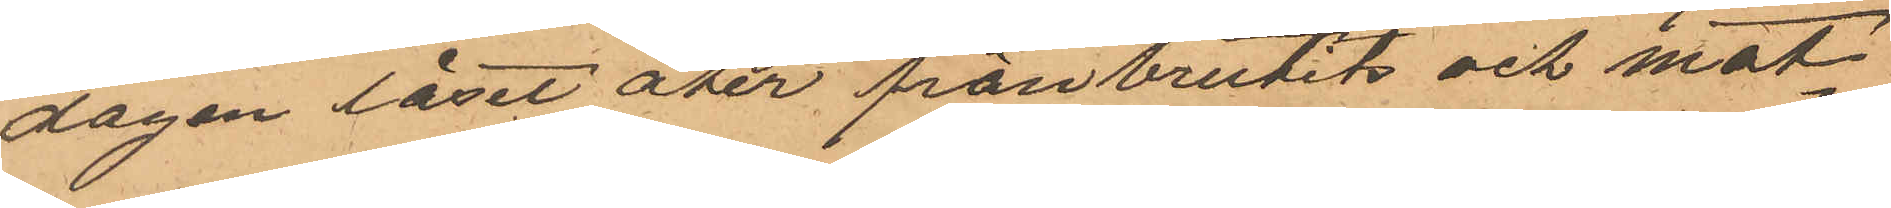dagen låset åter frånbrutits och mat¬
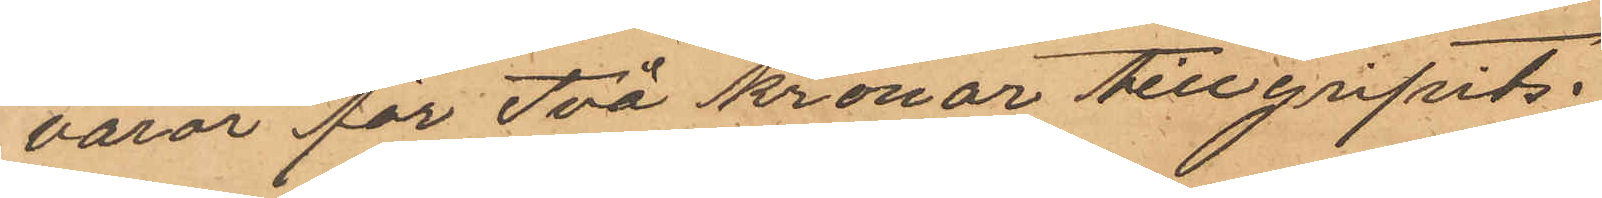varor för Två kronor tillgripits;
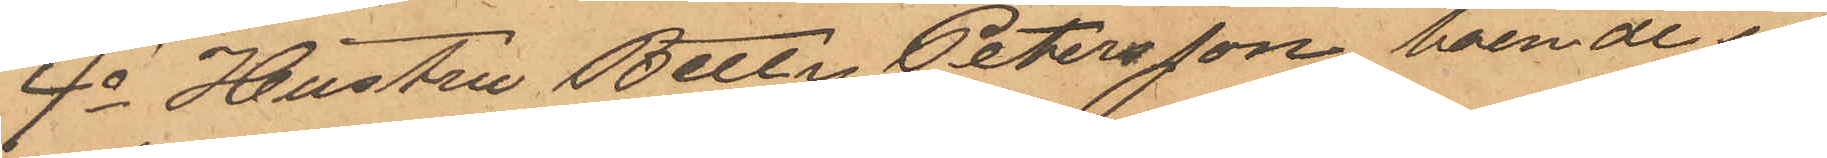4o Hustru Betty Petersson, boende i
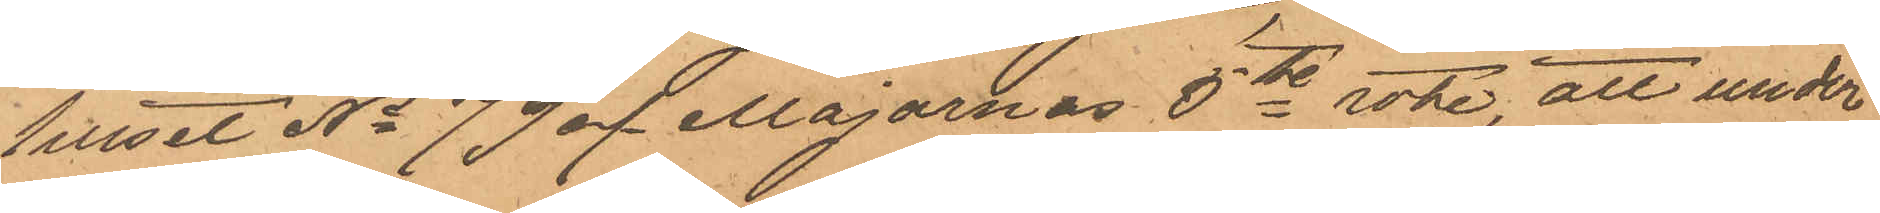huset No 79 af Majornas 5te rote, att under
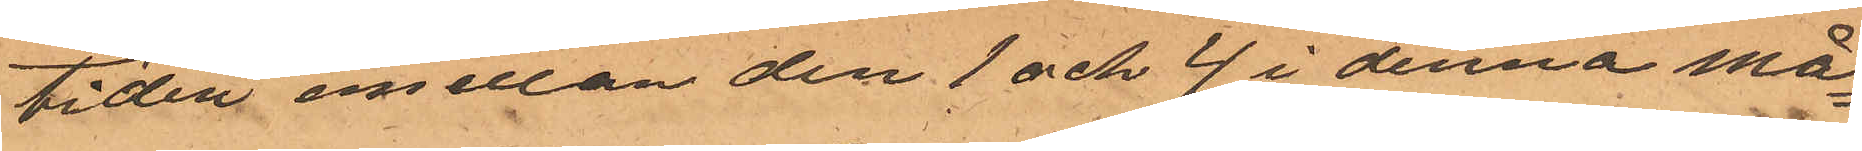tiden emellan den 1 och 4 i denna må¬
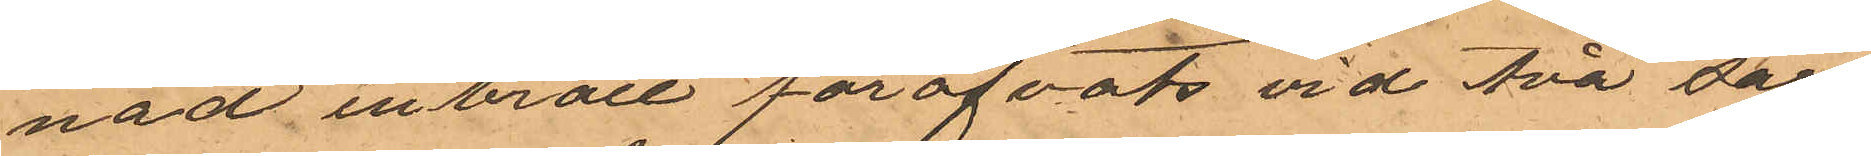nad inbrott föröfvats vid två där
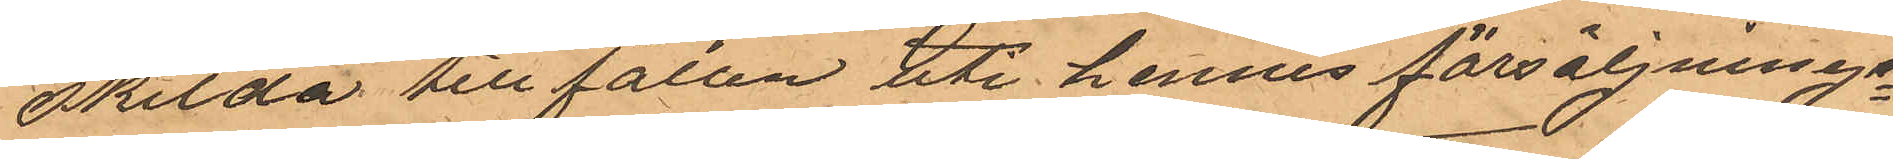skilda tillfällen uti hennes försäljnings¬
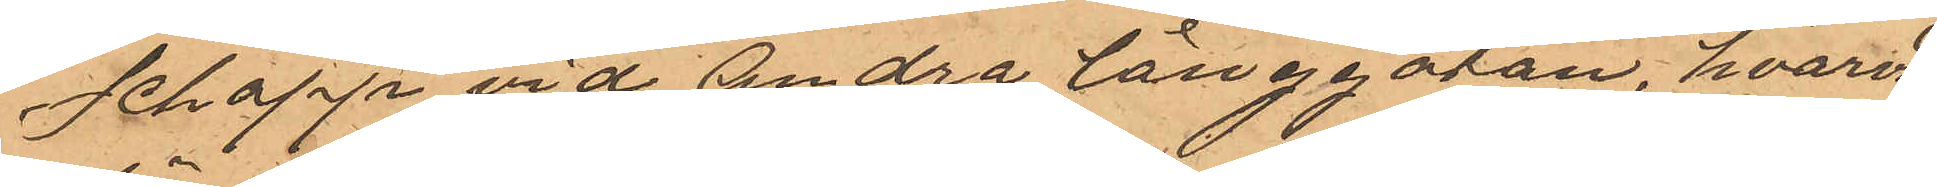schapp af vid Andra Långgatan, hvarvid
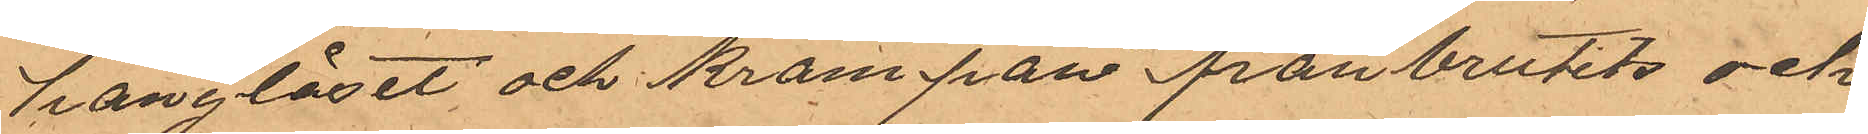hänglåset och krampan frånbrutits och
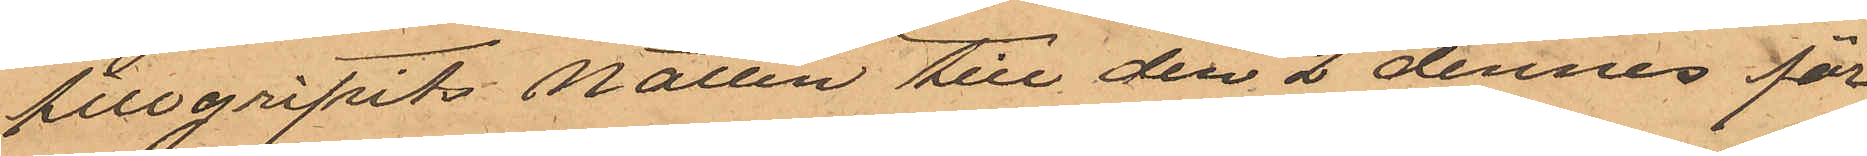tillgripits natten till den 2 dennes för
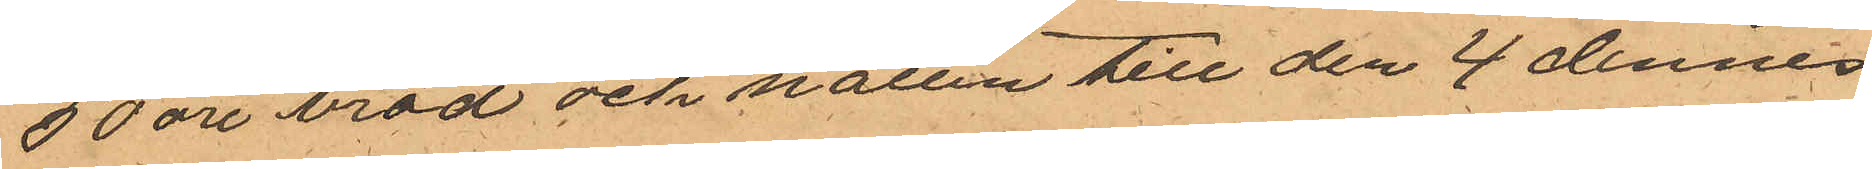50 öre bröd och natten till den 4 dennes
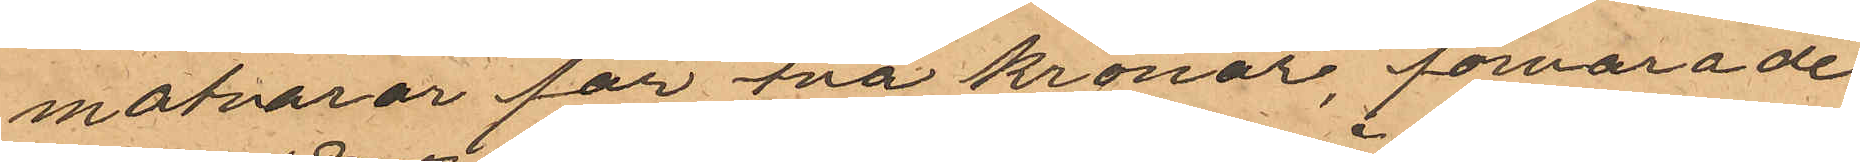matvaror för två kronor, förvarade
